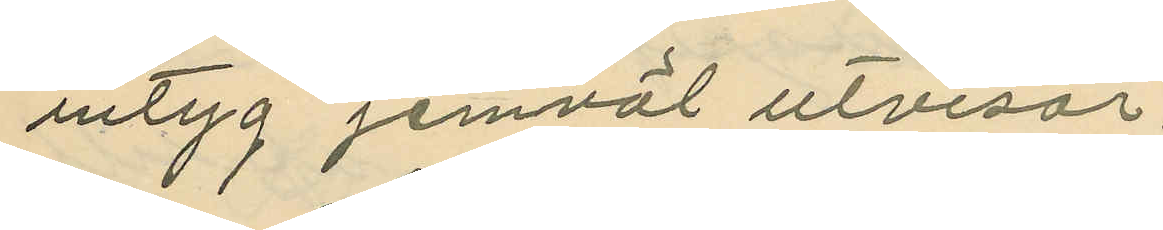intyg jemväl utvisar.
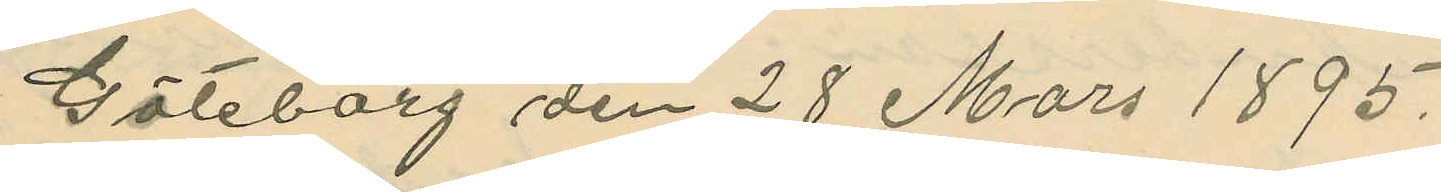Göteborg den 28 Mars 1895.
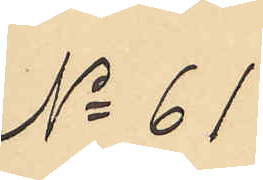No 61
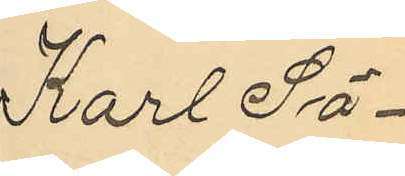Karl Sö¬
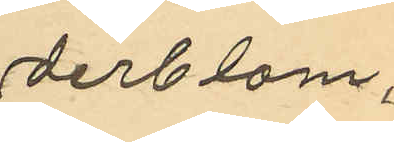derblom,
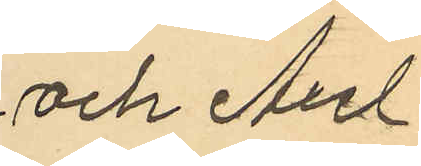och Axel
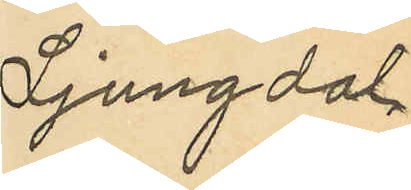Ljungdal
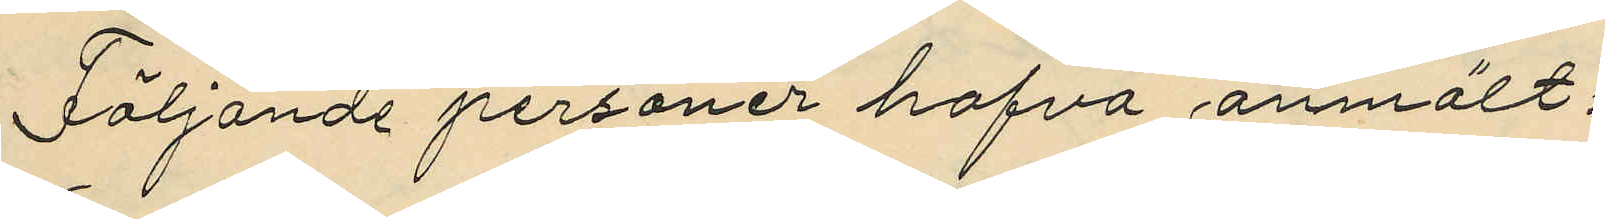Följande personer hafva anmält:
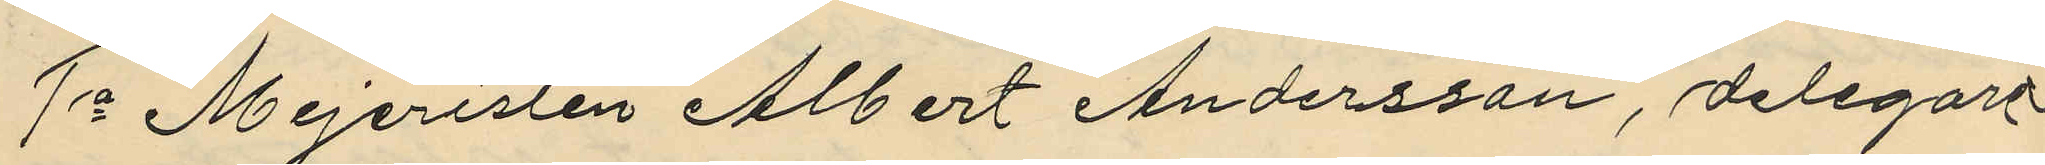1o Mejeristen Albert Andersson, delegare
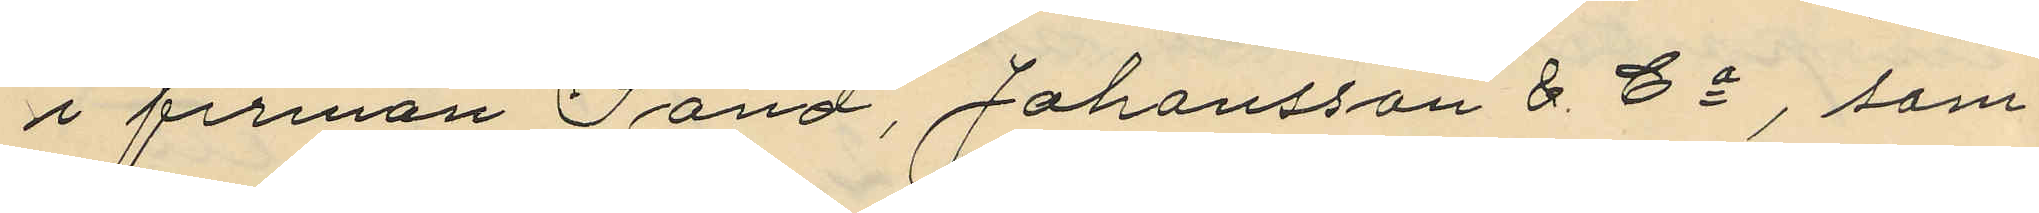i firman Sand, Johansson & Co, som
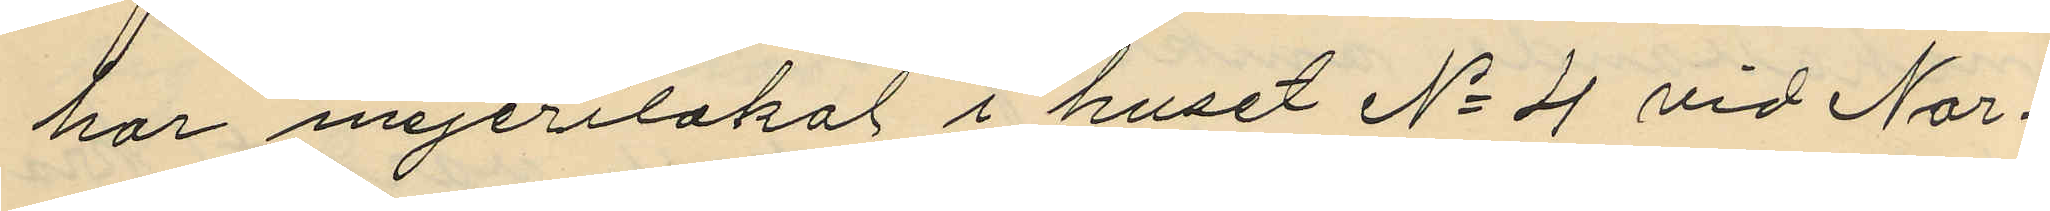har mejerilokal i huset No 4 vid Nor¬
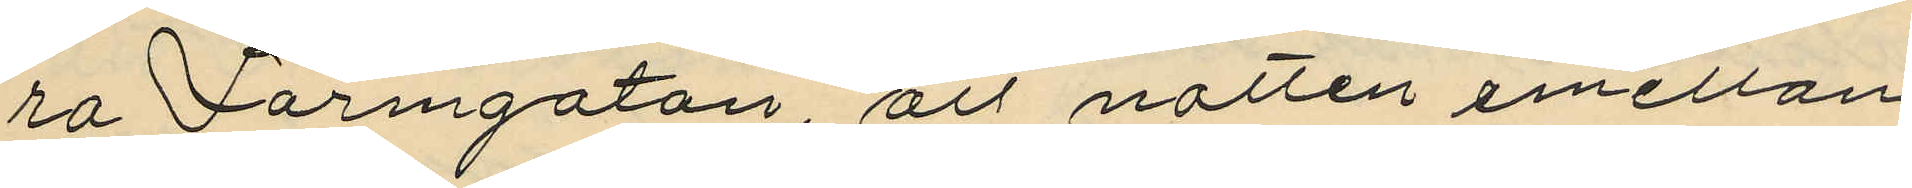ra Larmgatan, att natten emellan
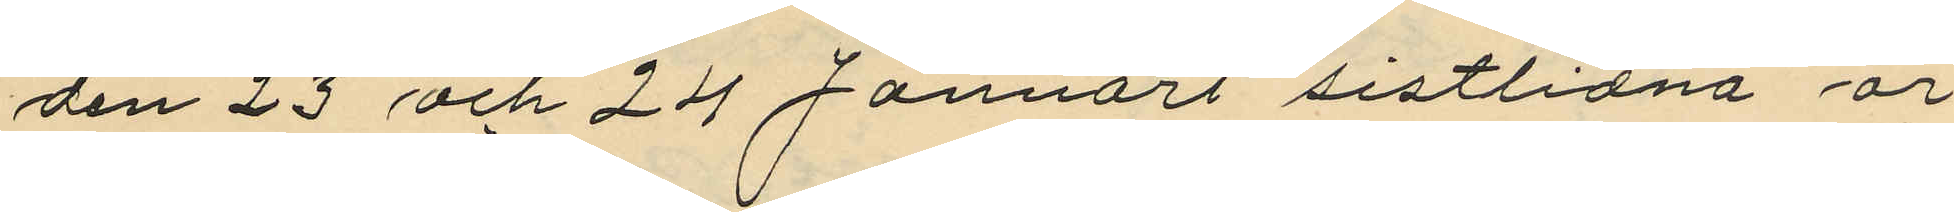den 23 och 24 Januari sistlidna år
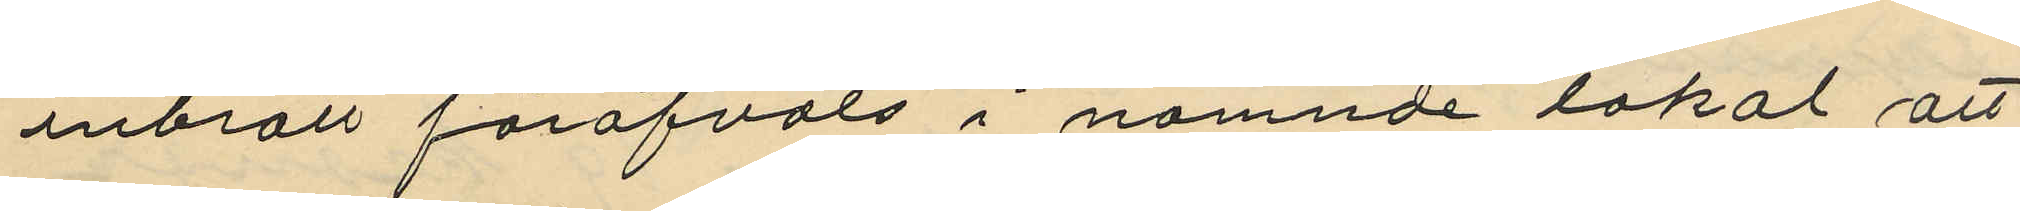inbrott föröfvats i nämnde lokal att
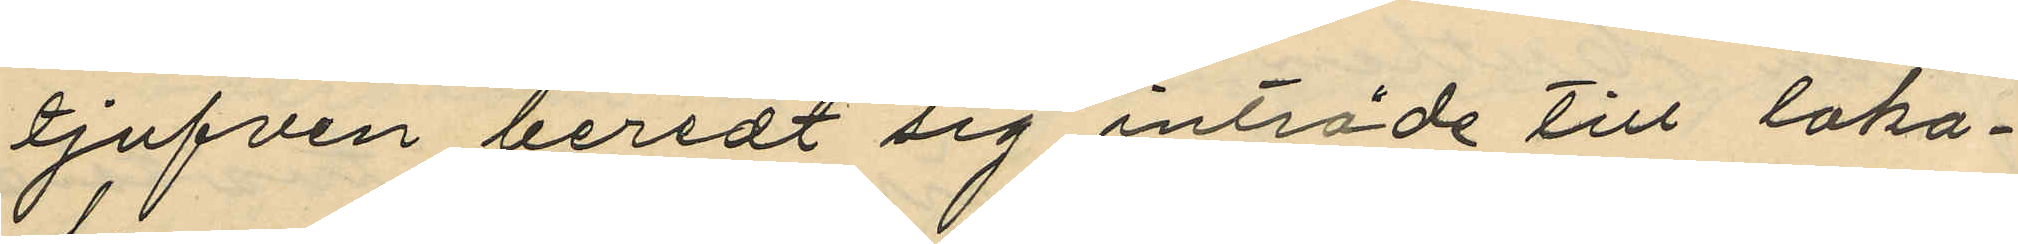tjufven beredt sig inträde till loka¬
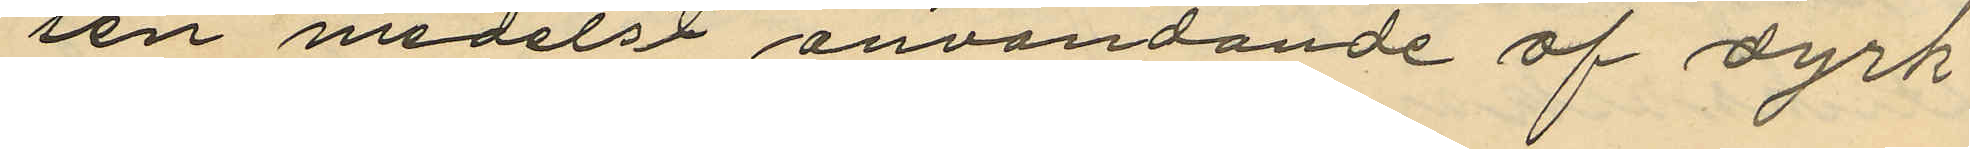len medelst användande af dyrk
